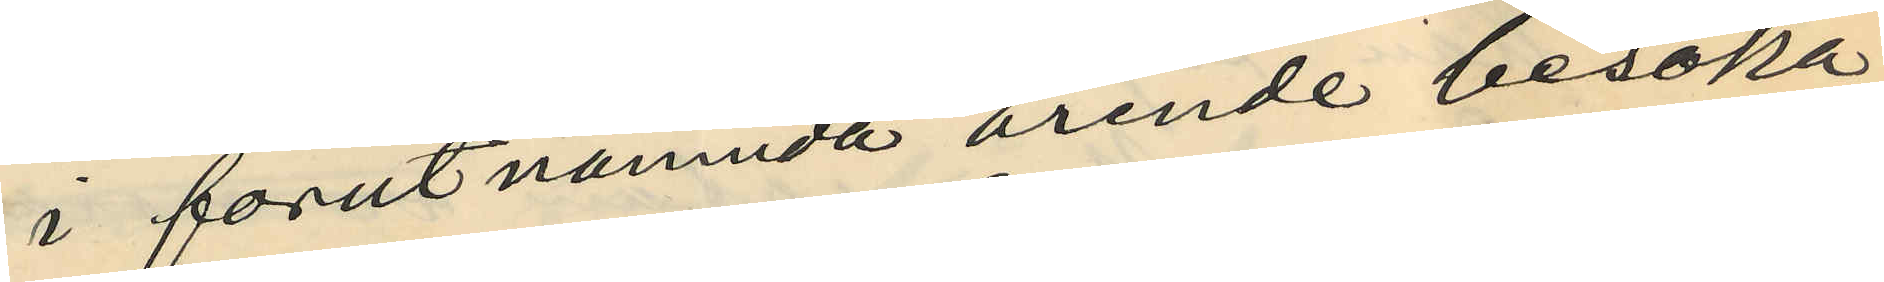i förutnämnda ärende besöka
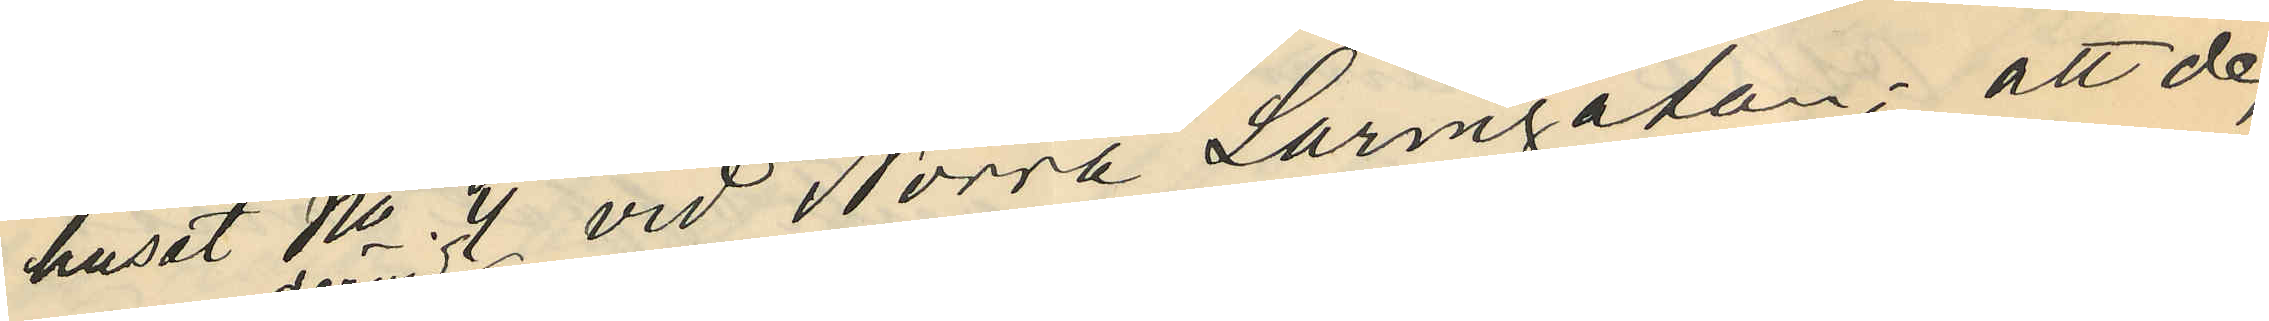huset No 4 vid Norra Larmgatan; att de,
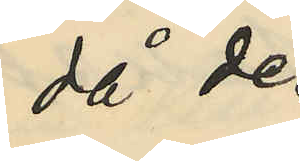då de
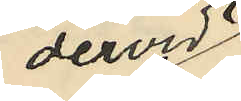dervid
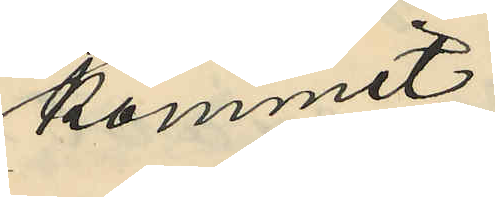kommit
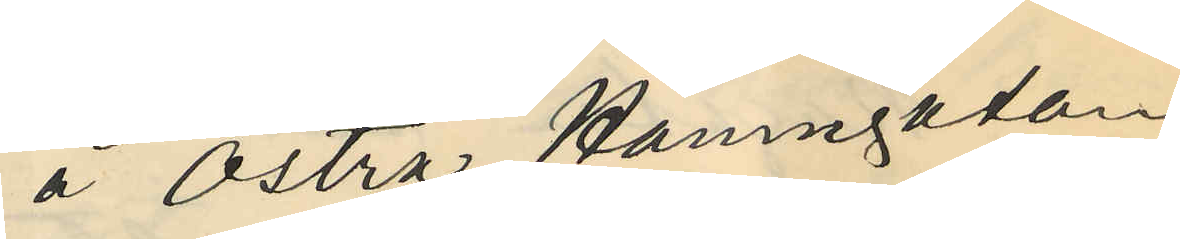å Östra Hamngatan
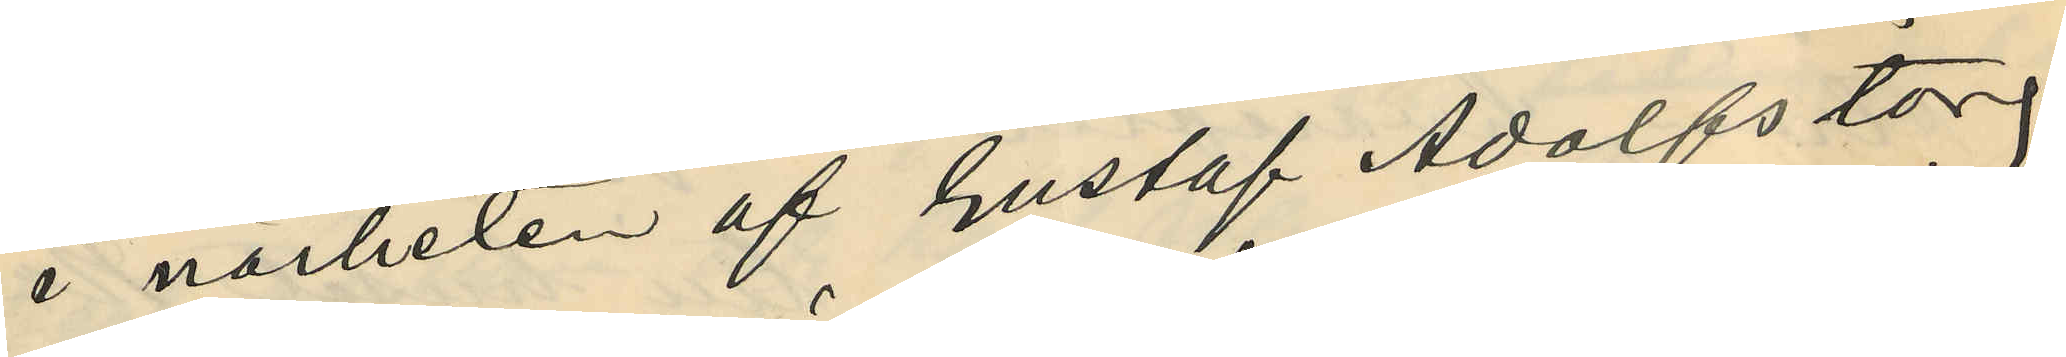i närheten af Gustaf Adolfstorg,
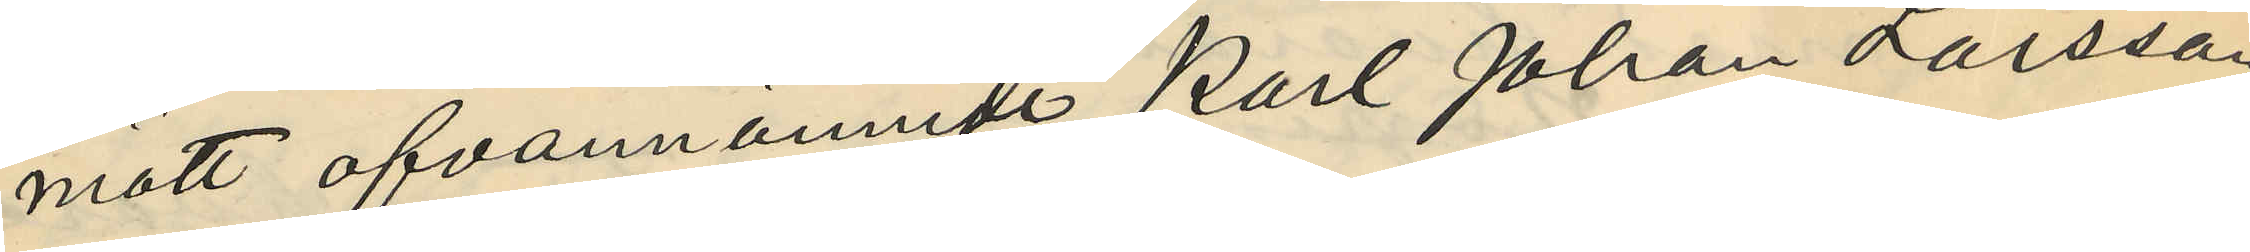mött ofvannämnde Karl Johan Larsson
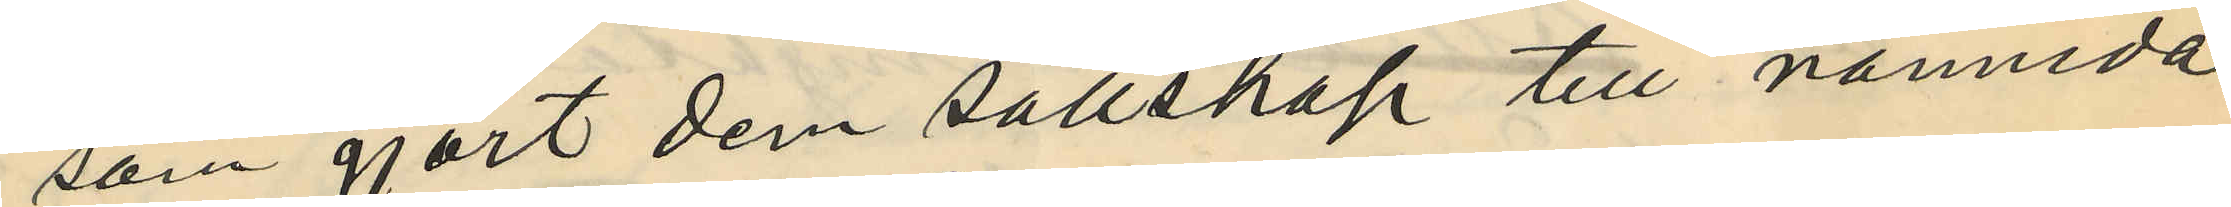som gjort dem sällskap till nämnda
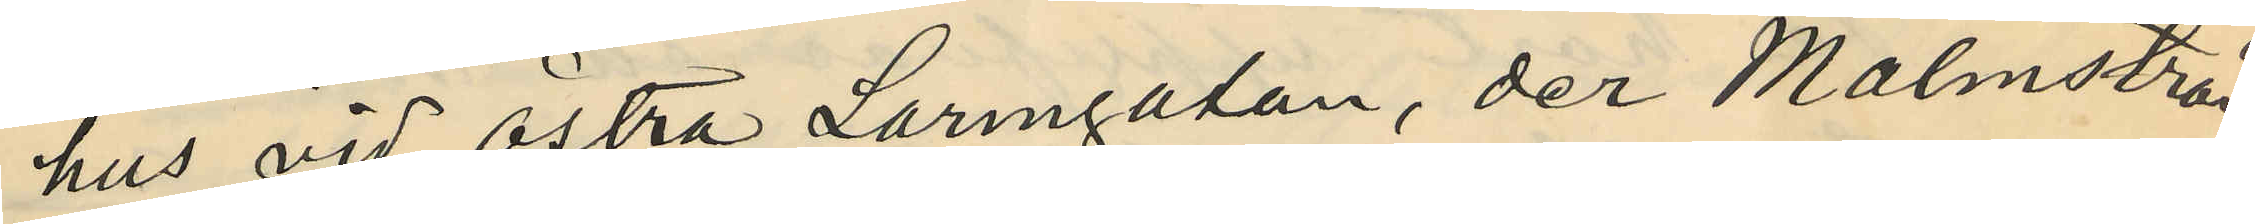hus vid Östra Larmgatan, der Malmström
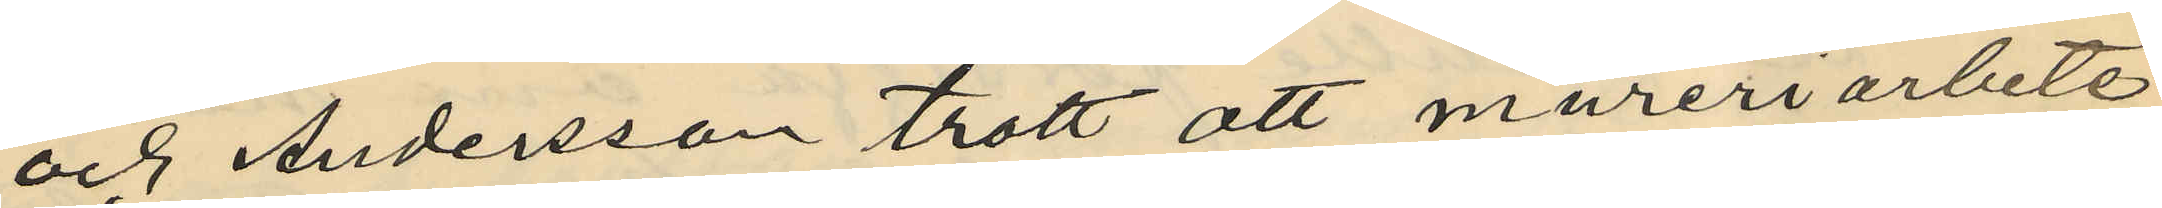och Andersson trott att mureriarbete
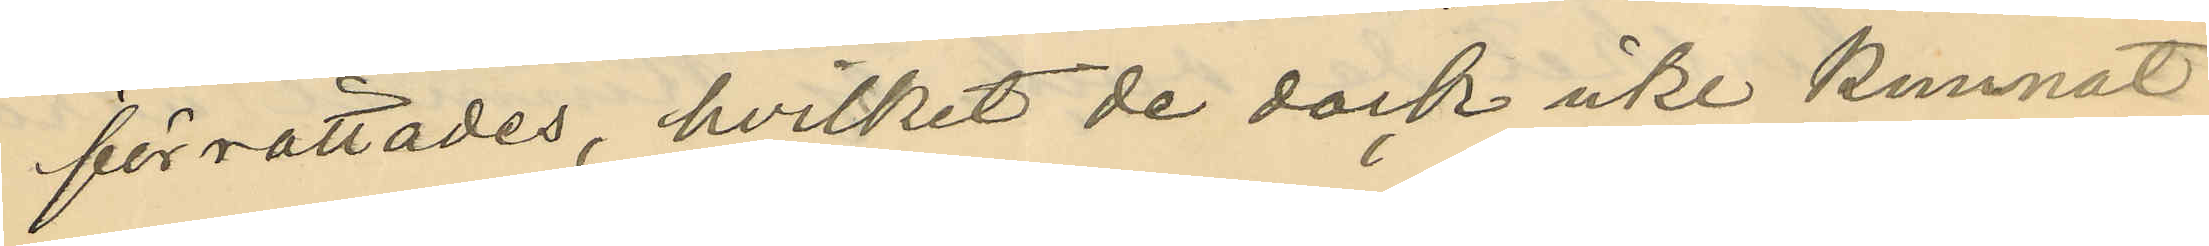förrättades, hvilket de dock icke kunnat
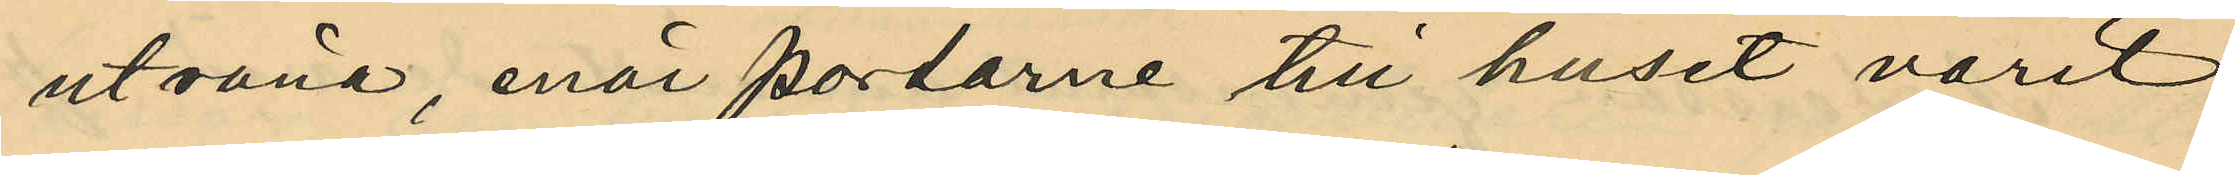utröna, enär portarne till huset varit
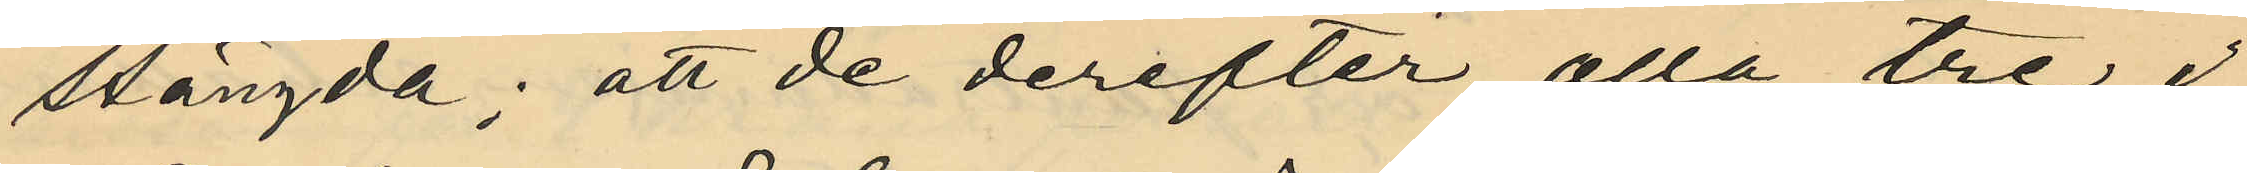stängda; att de derefter alla tre i
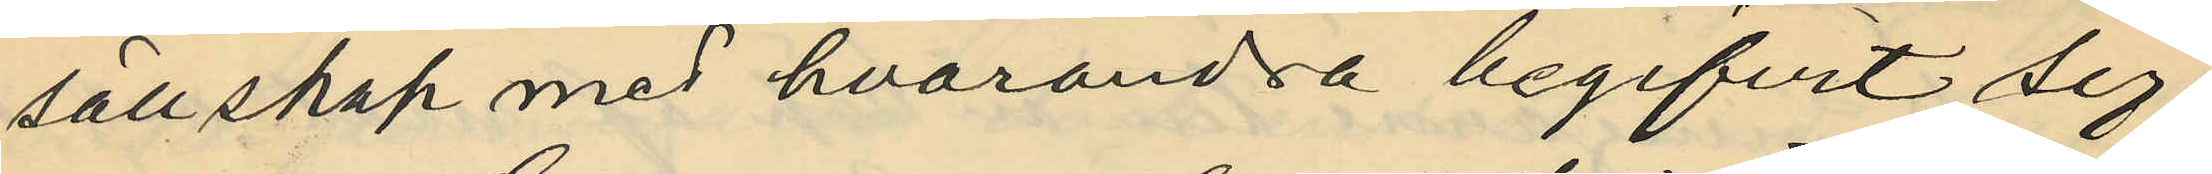sällskap med hvarandra begifvit sig
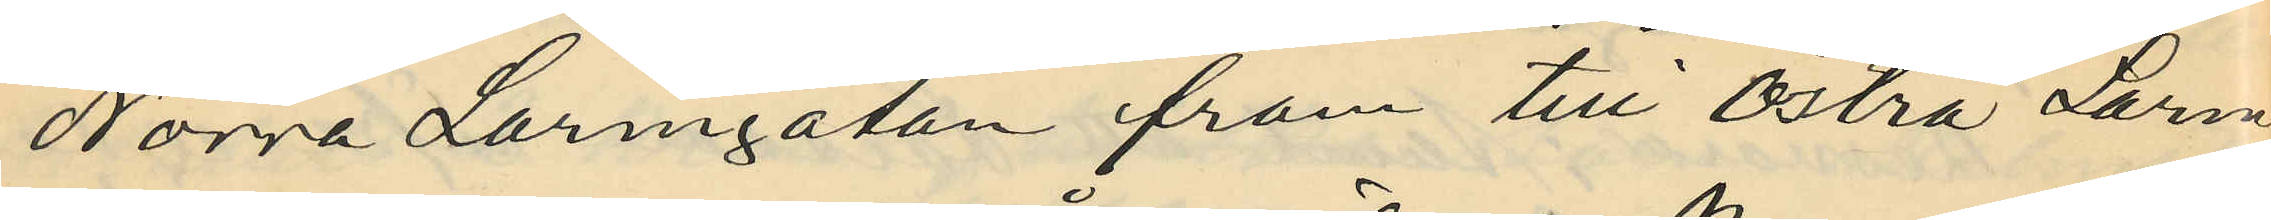Norra Larmgatan fram till Östra Larm¬
